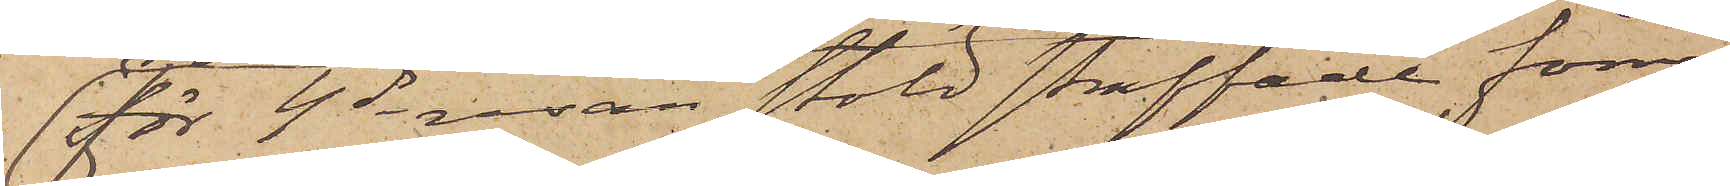för 4de resan stöld straffade förre
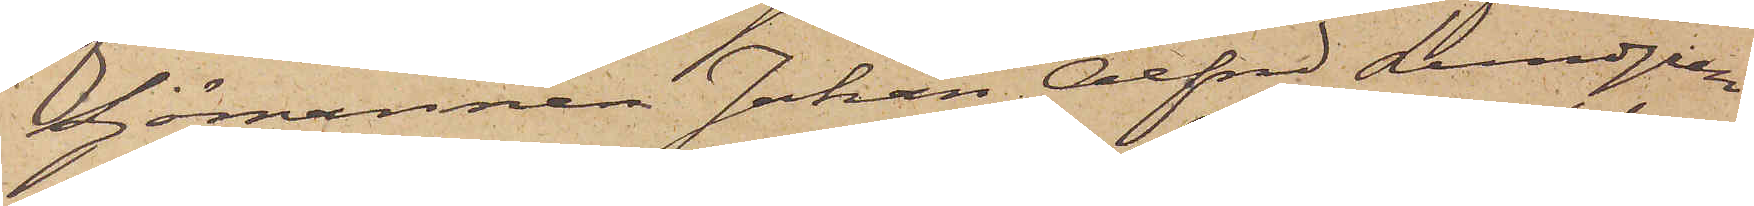Sjömannen Johan Alfred Lundgren
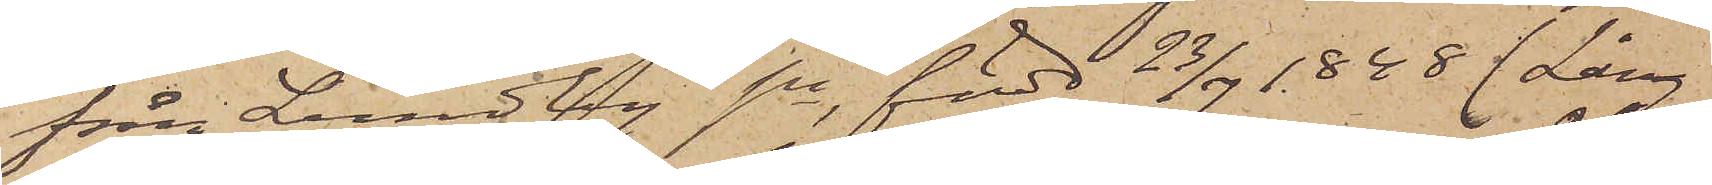från Lundby sn, född 23/7 1848 (Lång¬ 
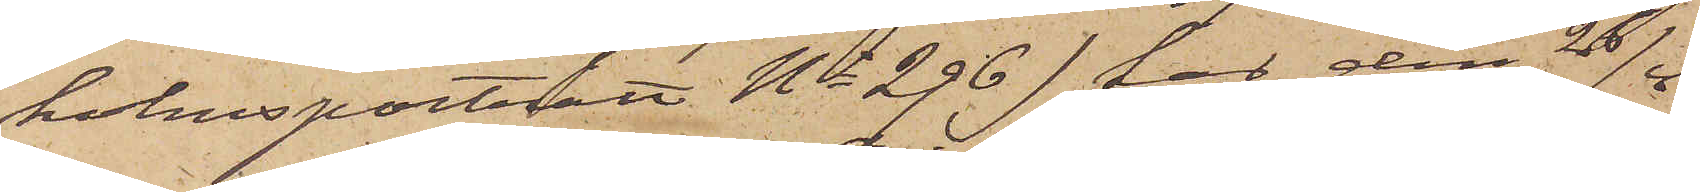holmsporträtt No 296) har den 26/4
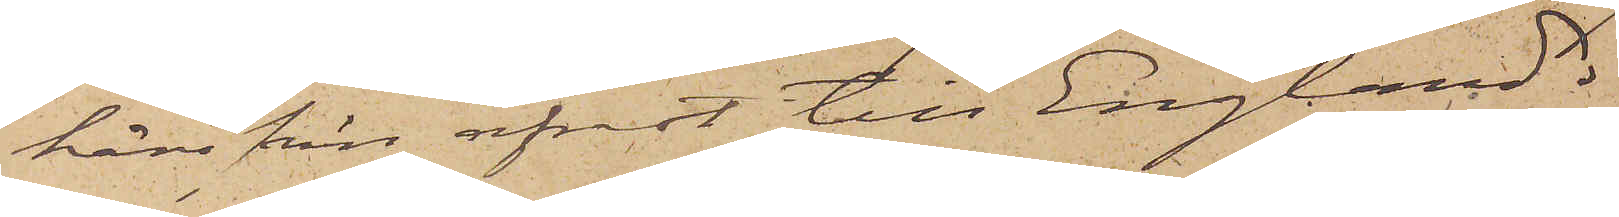härifrån afrest till England.
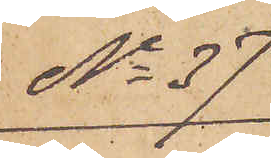No 37
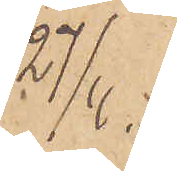27/4.
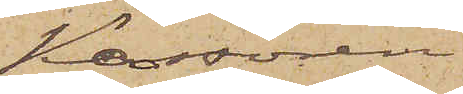Kassören
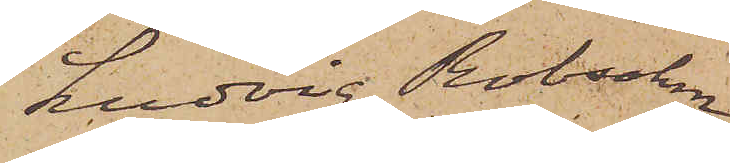Ludvig Robsahm,
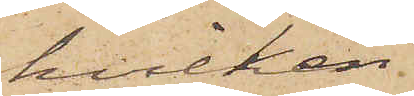hvilken
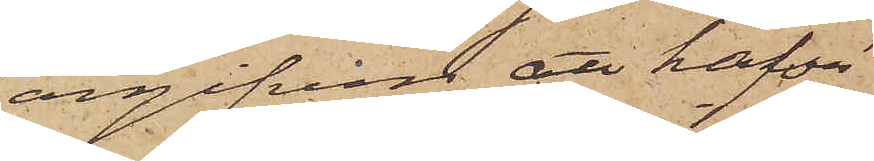angifven att hafva
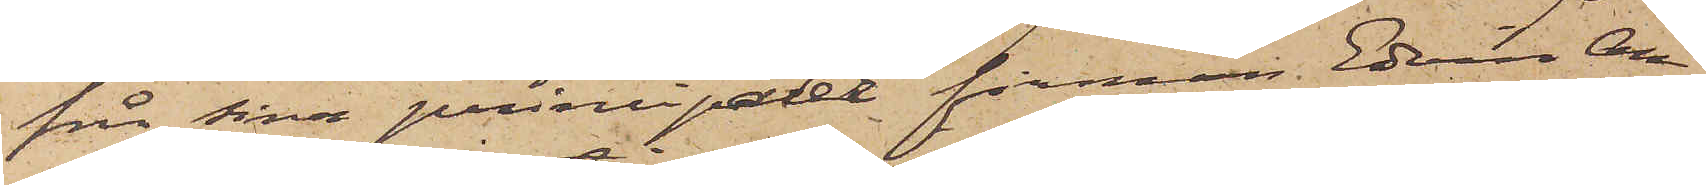från sina principaler firman Edvin An¬
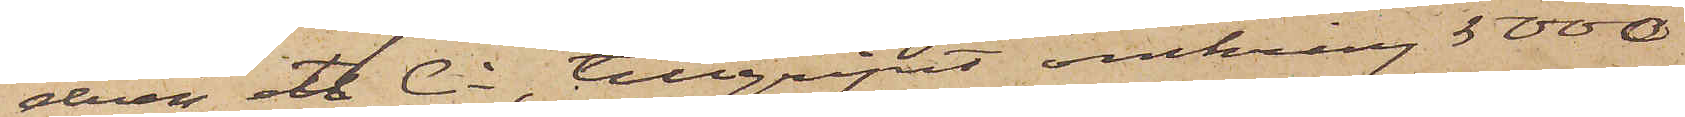déen et Ci, tillgripit omkring 5000
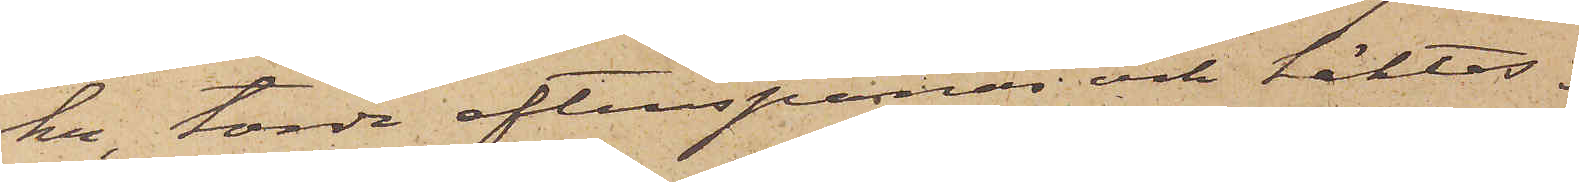kr, torde efterspanas och häktas.
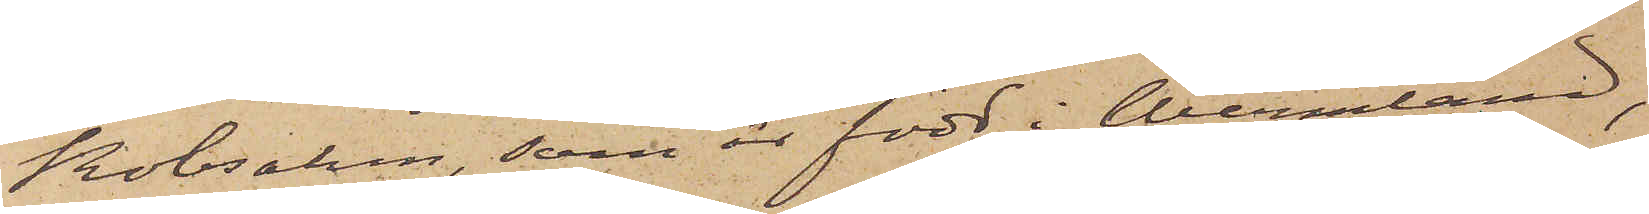Robsahm, som är född i Wermland,
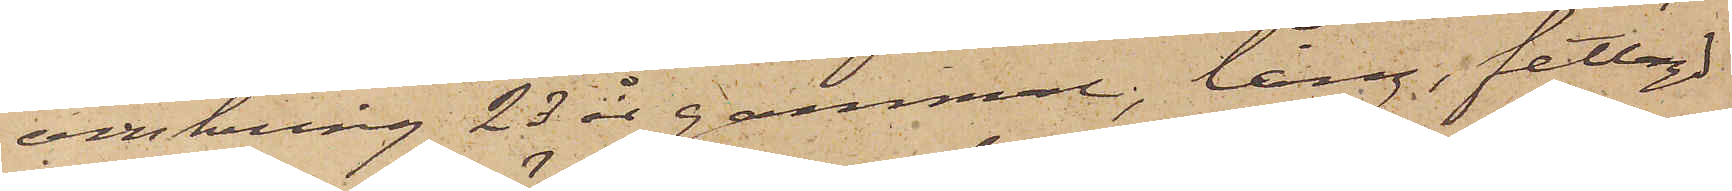omkring 23 år gammal, lång, fetlagd
